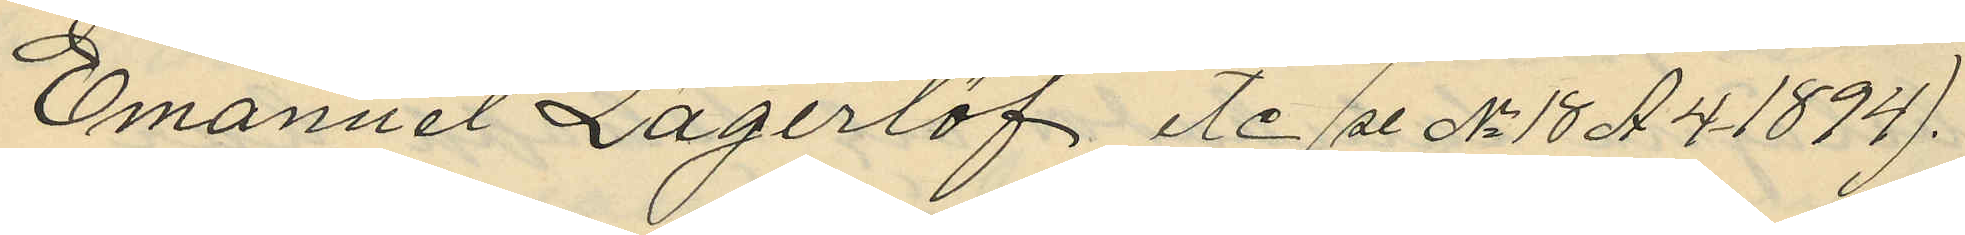Emanuel Lagerlöf etc (se No 18 A4 1894).
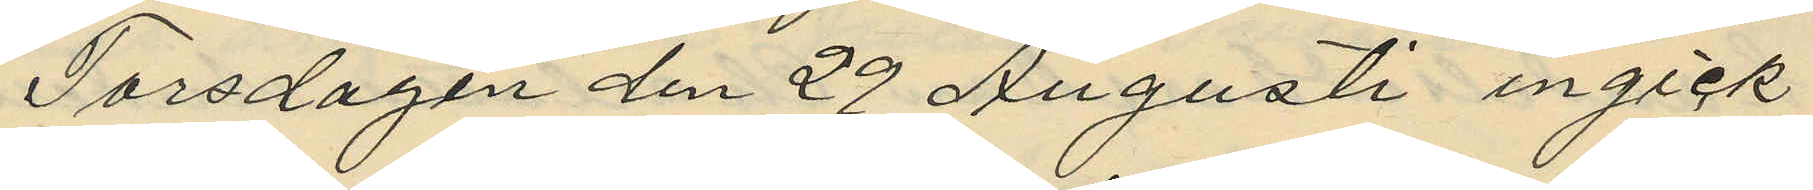Torsdagen den 29 Augusti ingick
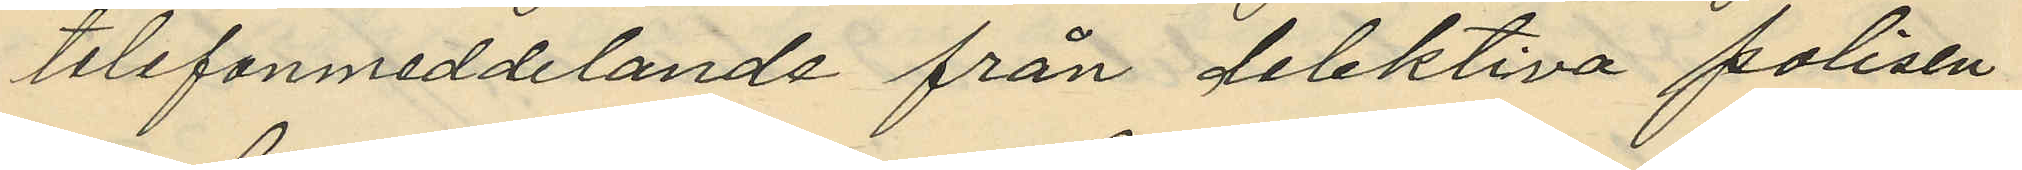telefonmeddelande från detektiva polisen
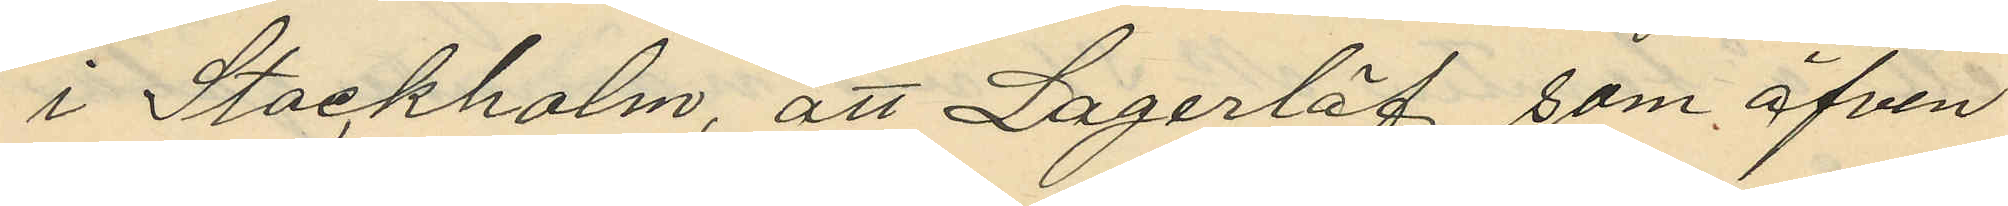i Stockholm, att Lagerlöf, som äfven
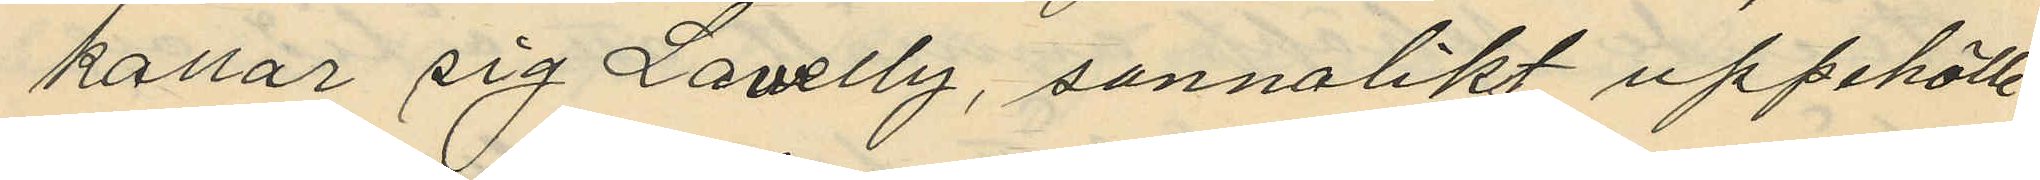kallar sig Lawelly, sannolikt uppehölle
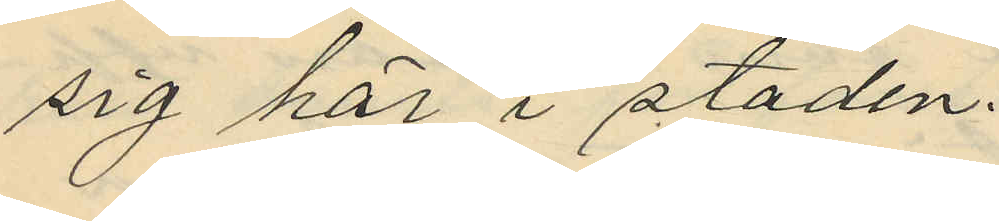sig här i staden.
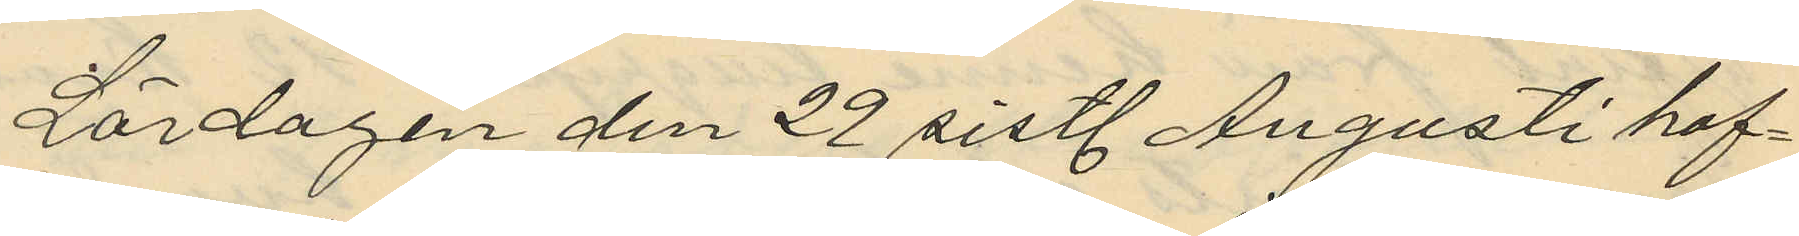Lördagen den 29 sistl. Augusti haf¬
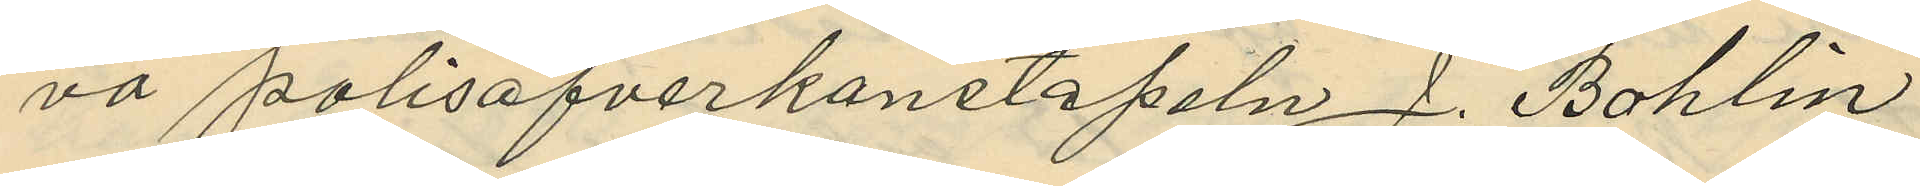va polisöfverkonstapeln J. Bohlin
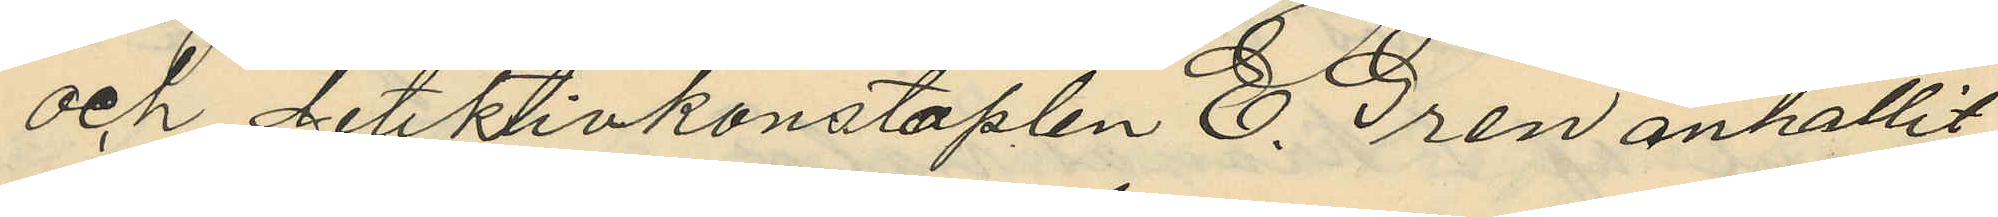och detektivkonstaplen E. Gren anhållit
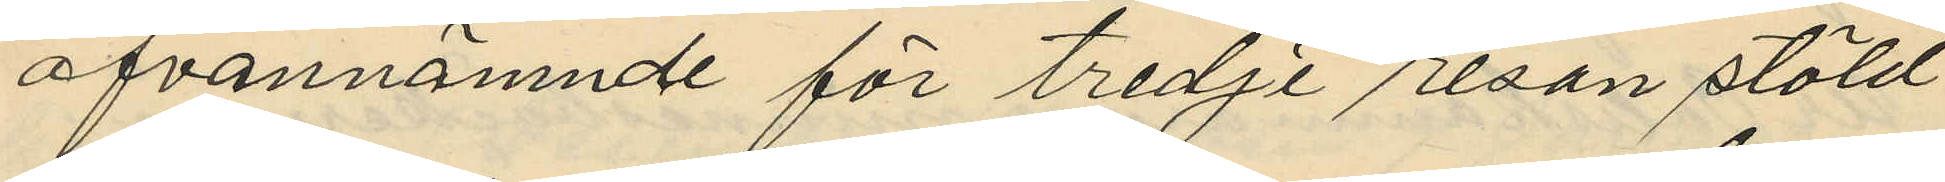ofvannämnde för tredje resan stöld
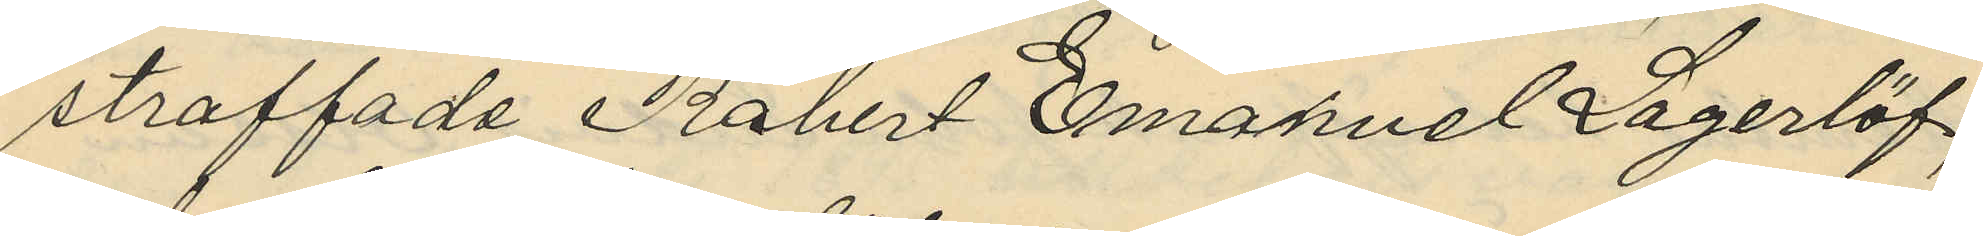straffade Robert Emanuel Lagerlöf;
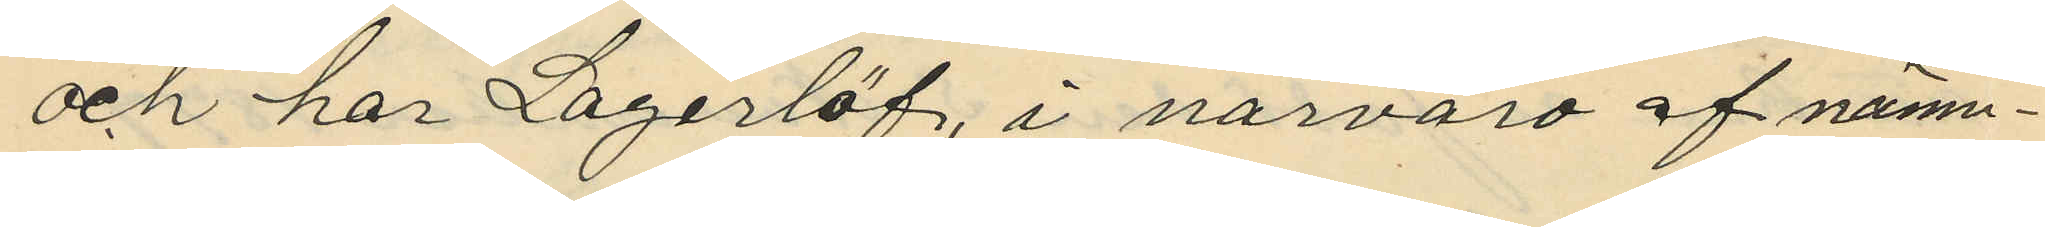och har Lagerlöf, i närvaro af nämn¬
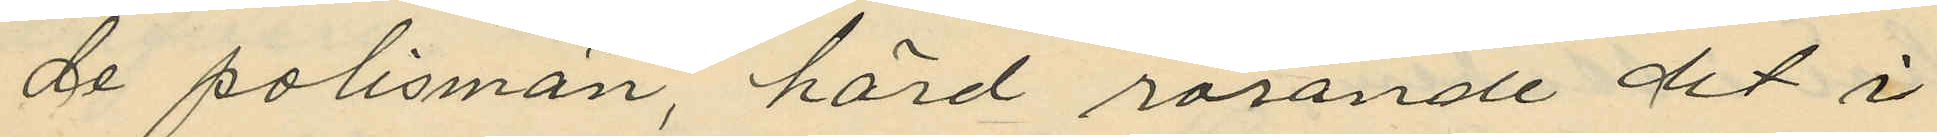de polismän hörd rörande det i
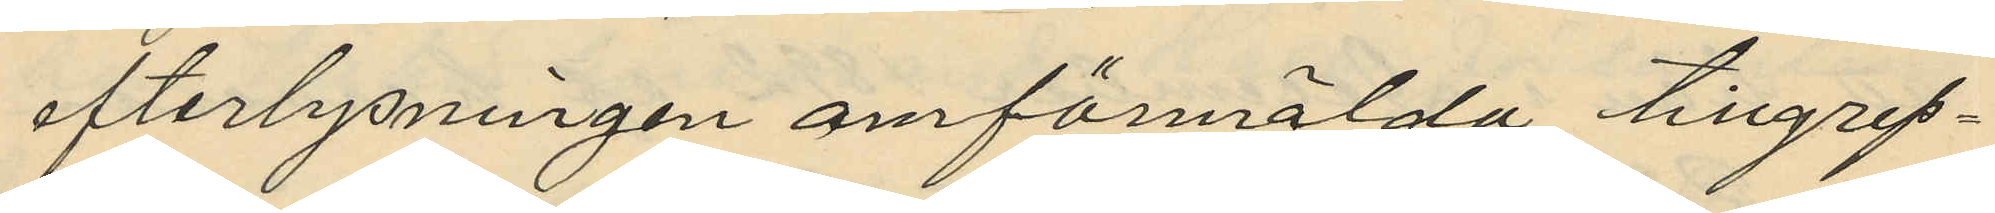efterlysningen omförmälda tillgrep¬
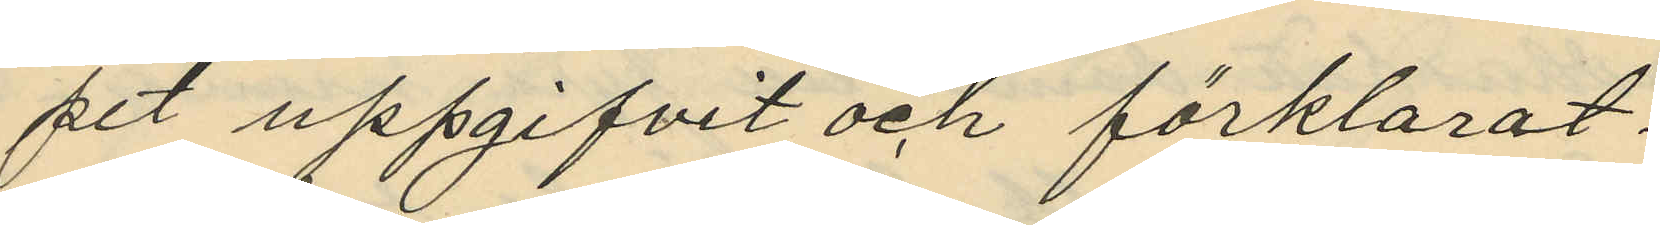pet uppgifvit och förklarat:
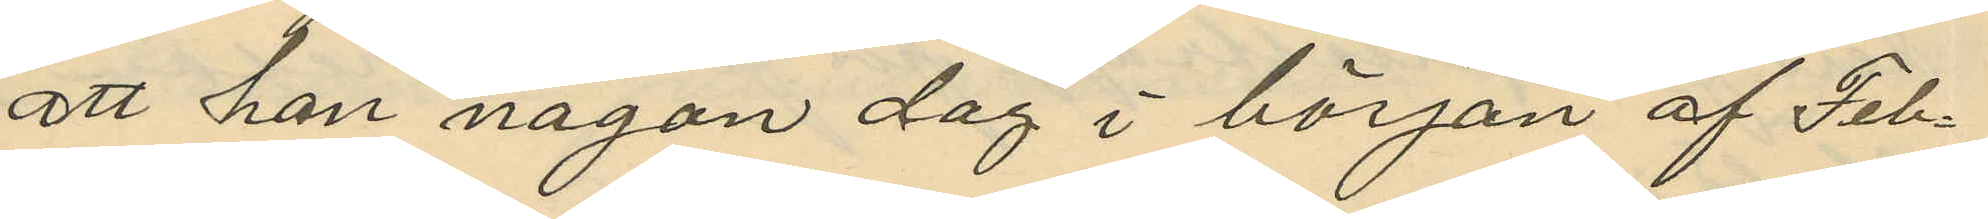att han någon dag i början af Feb¬
